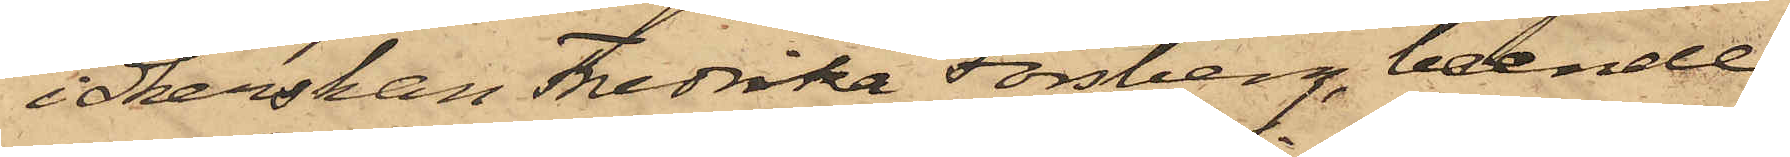idkerskan Fredrika Forsberg, boende
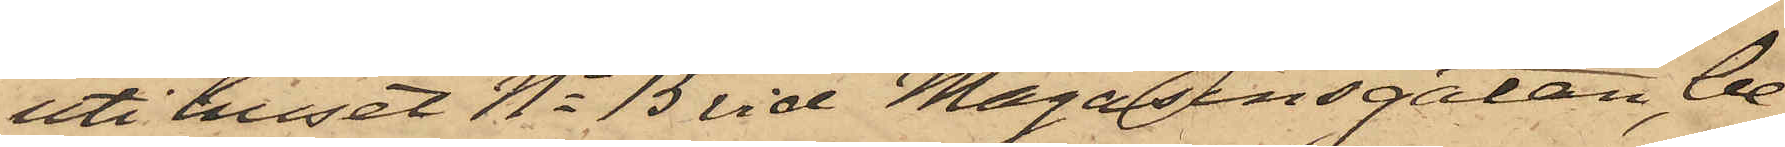uti huset No 15 vid Magasinsgatan, be¬
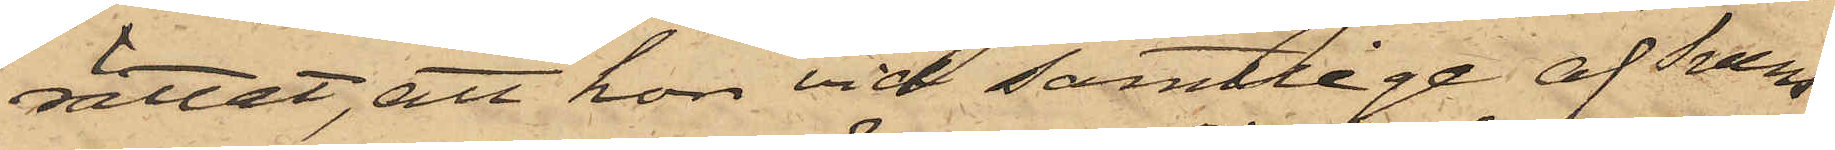rättat, att hon vid samtlige af Svens¬
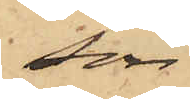son
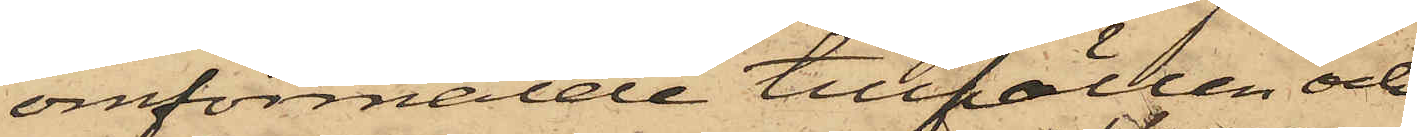omförmälde tillfällen och
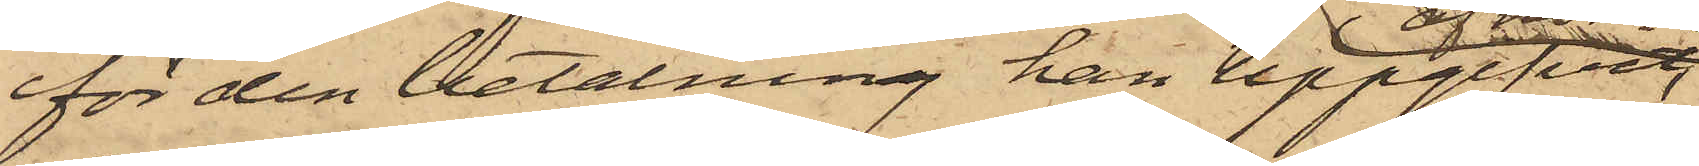för den betalning han uppgifvit,
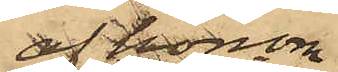af honom
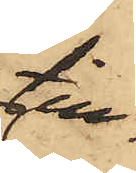till¬
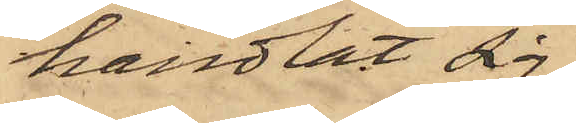handlat sig
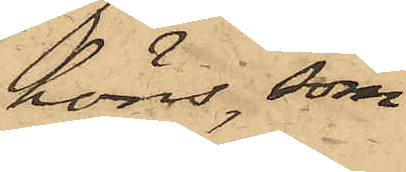höns, som
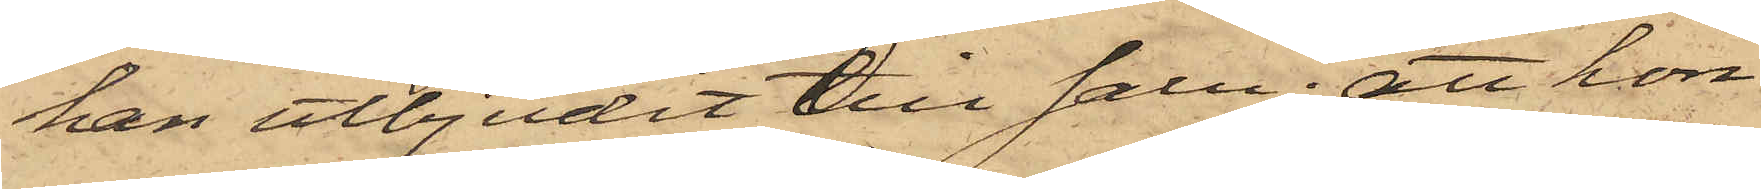han utbjudit till salu; att hon
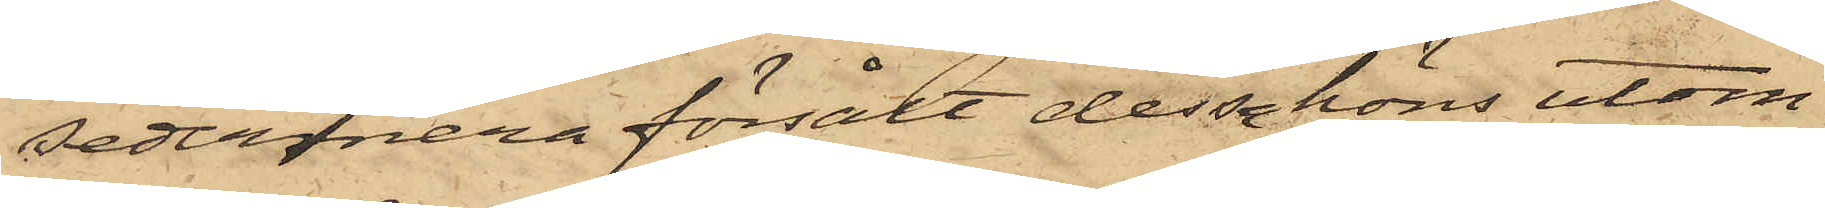sedermera försålt dessa höns utom
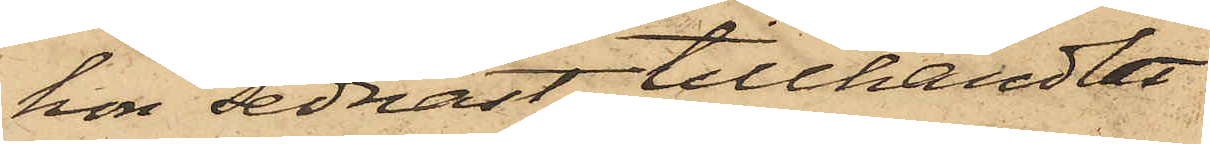hon sednast tillhandlat
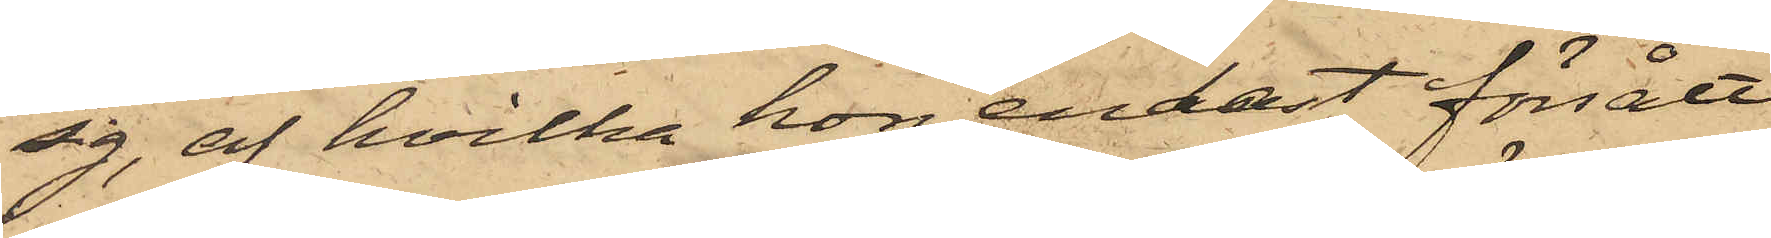sig, af hvilka hon endast försålt
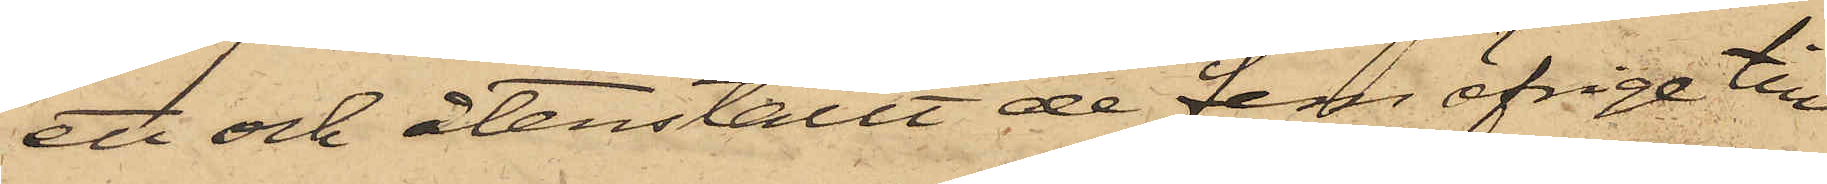ett och återställt de dem öfriga till
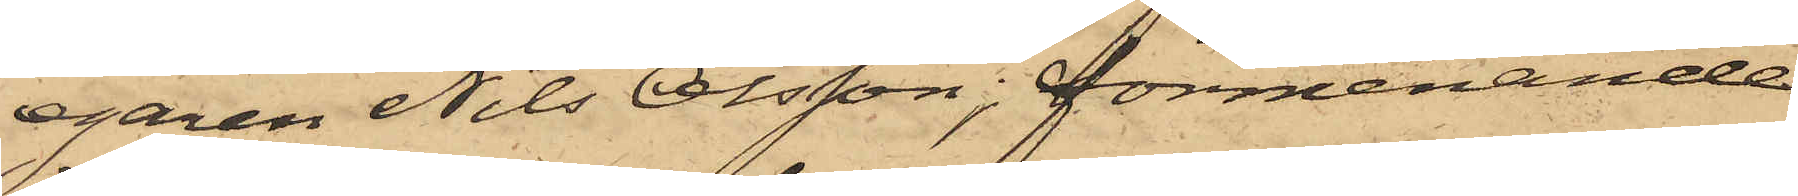egaren Nils Olsson; förmenande
